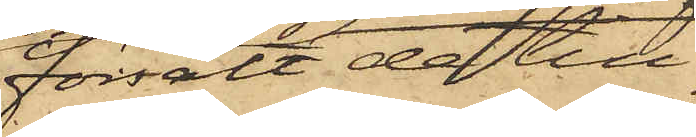försålt de till¬
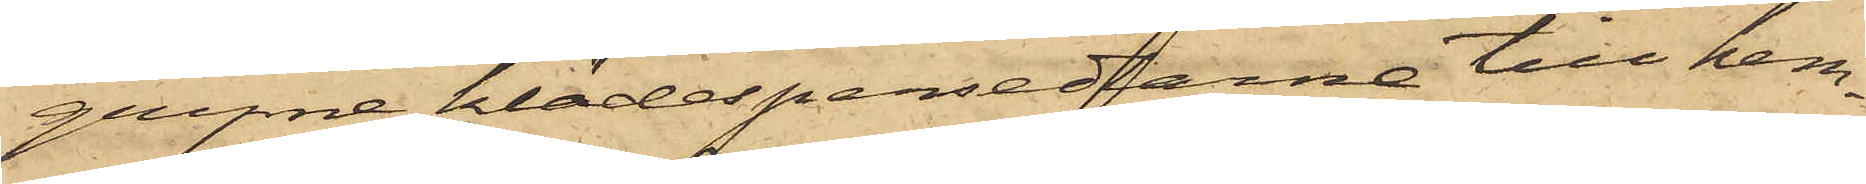gripne klädespersedlarne till hem¬
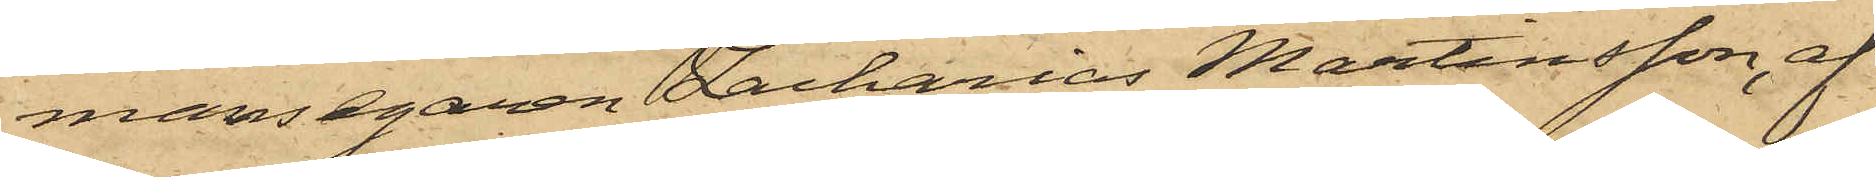mansegaren Zacharias Martinsson, af
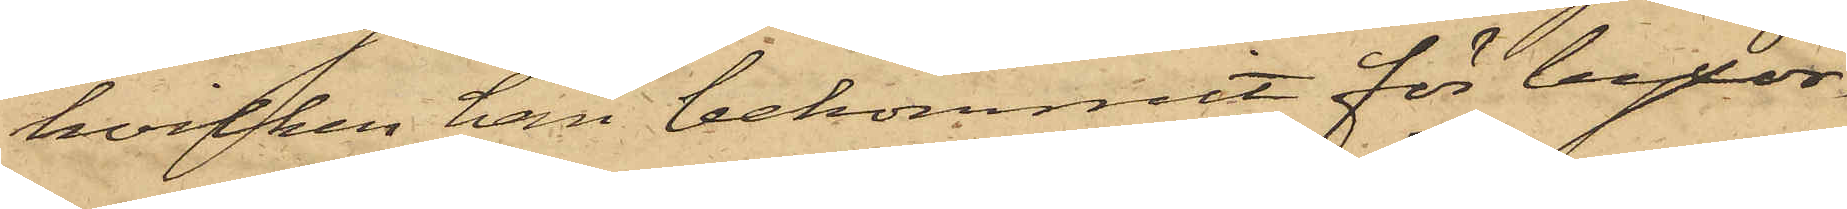hvilken han bekommit för byxor¬
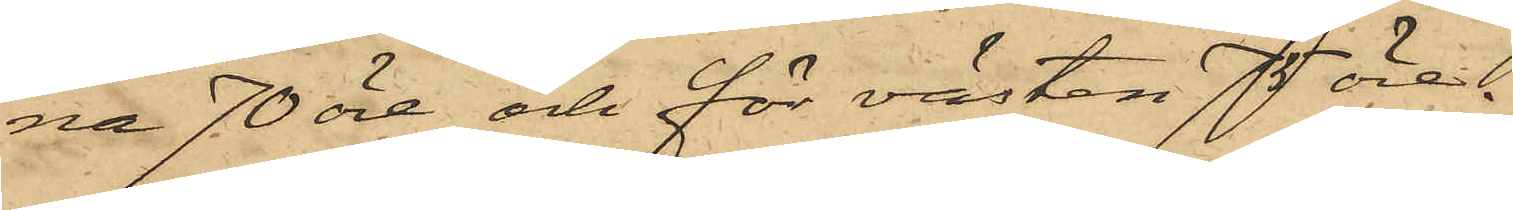na 70 öre och för västen 75 öre.
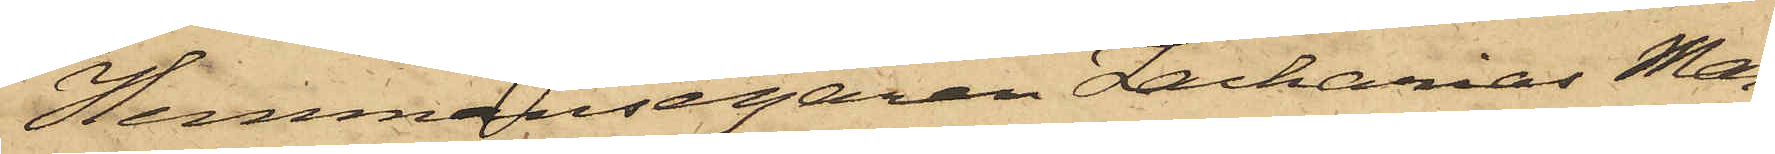Hemmansegaren Zacharias Mar¬
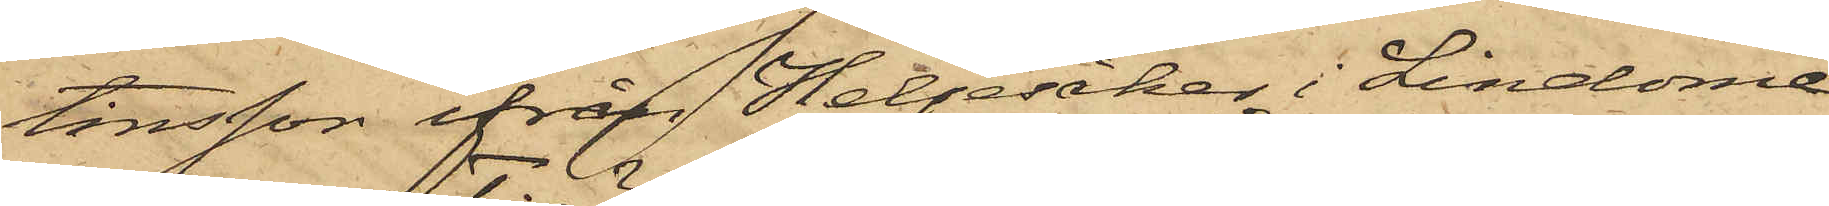tinsson ifrån Heljesåker i Lindome
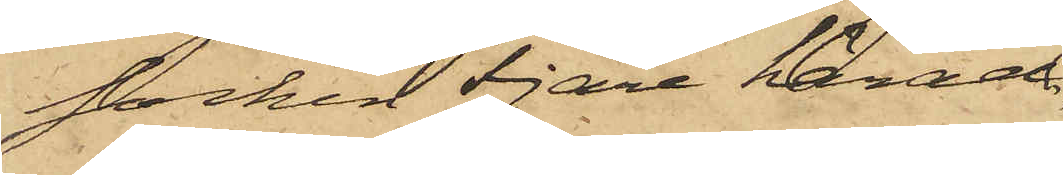socken Fjäre härad,
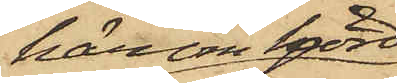härom hörd
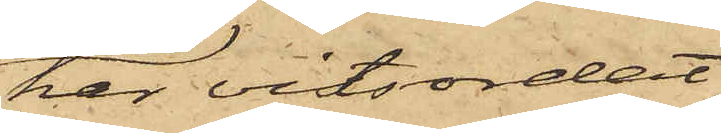har vitsordat
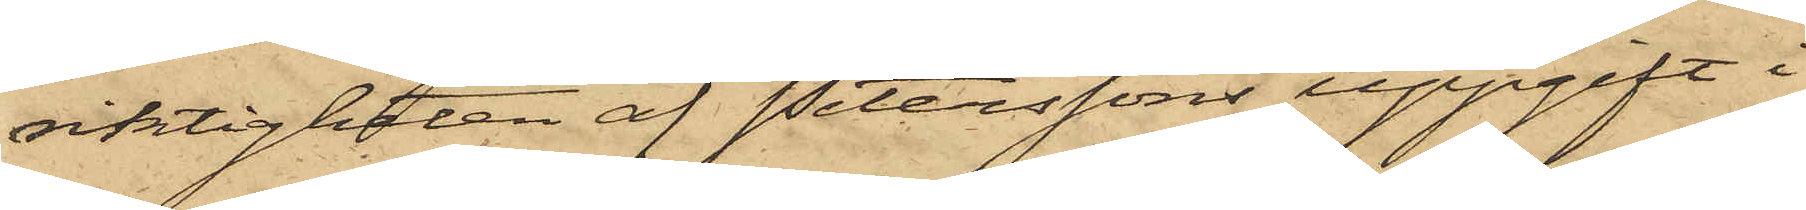riktigheten af Peterssons uppgift i
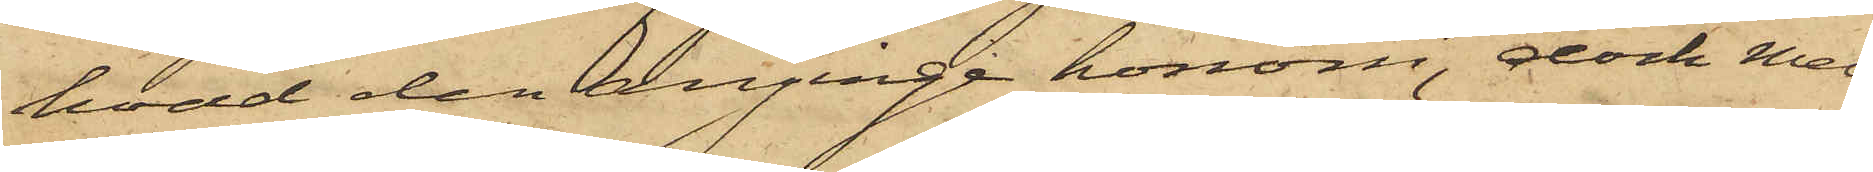hvad den anginge honom, dock med
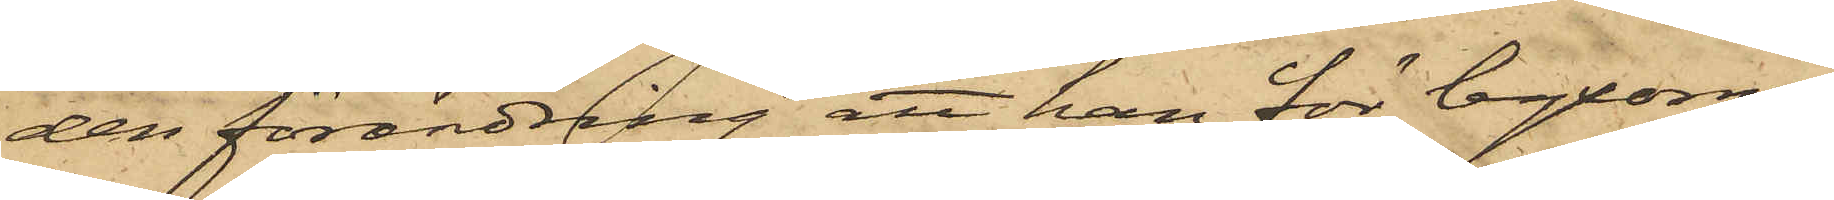den förändring att han för byxorna
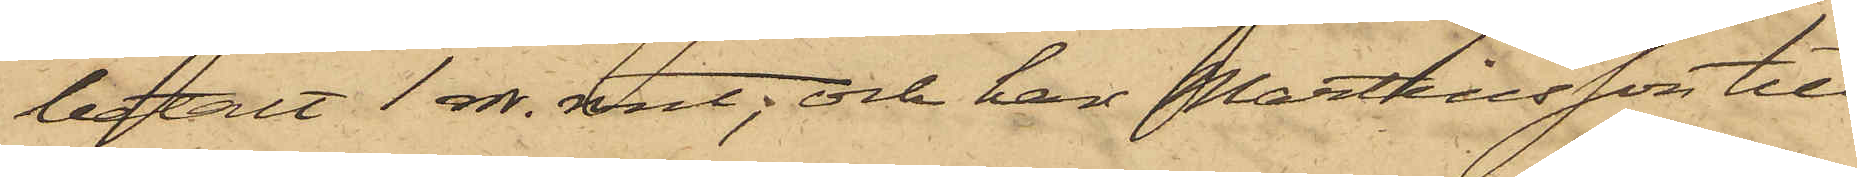betalt 1 rdr. rmt; och har Martinsson till
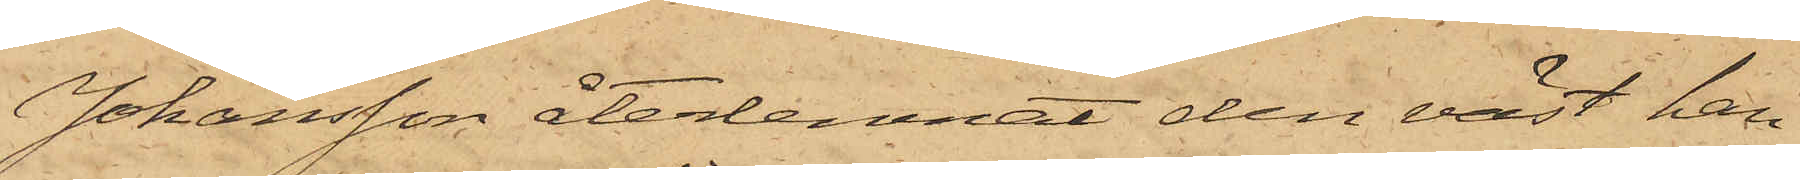Johansson återlemnat den väst han
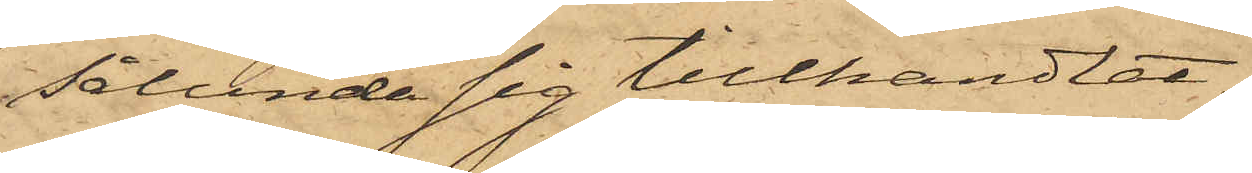sålunda sig tillhandlat
